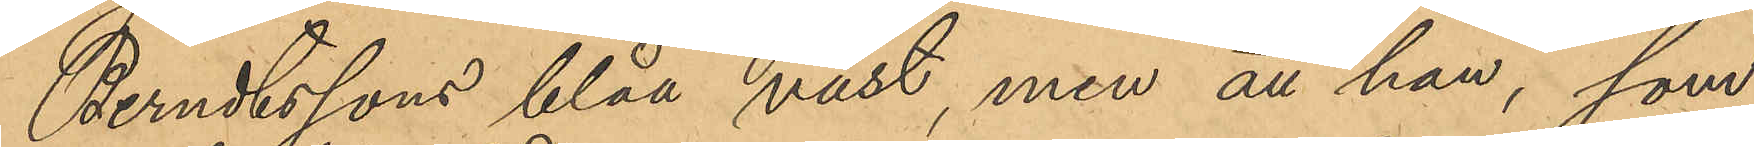Berndtssons blåa väst, men att han, som
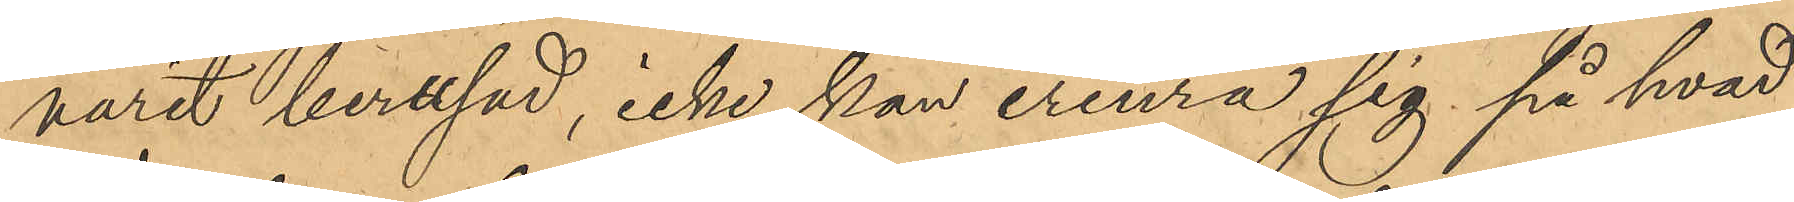varit berusad, icke kan erinra sig på hvad
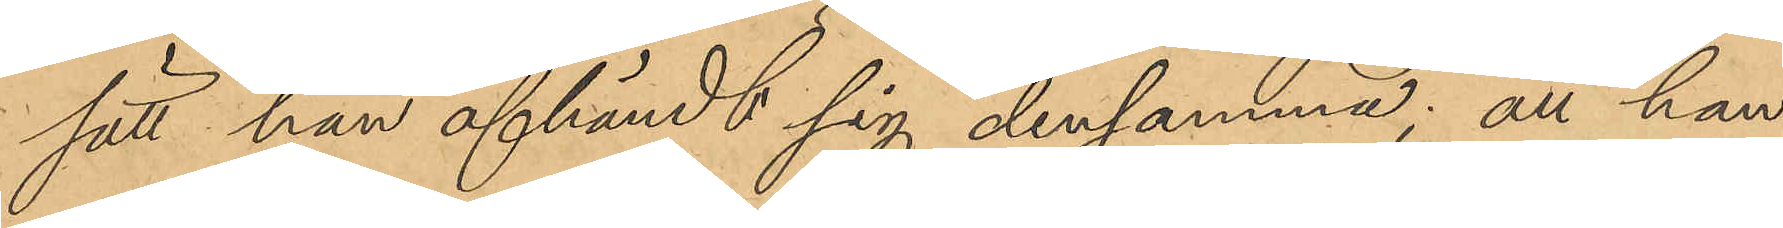sätt han afhändt sig densamma; att han
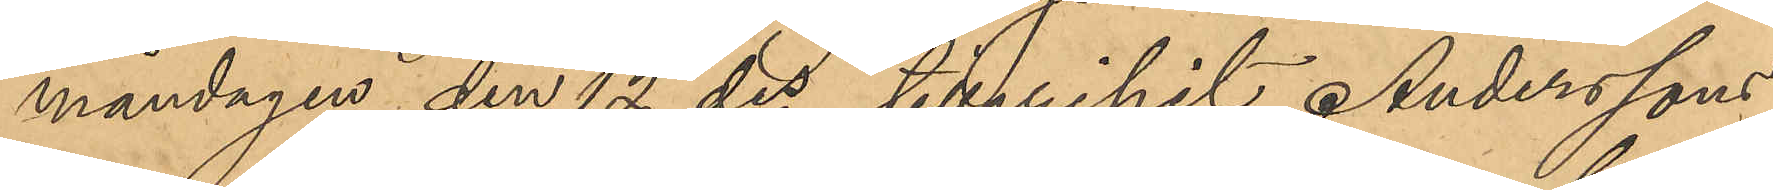måndagen den 12 ds tillgripit Anderssons
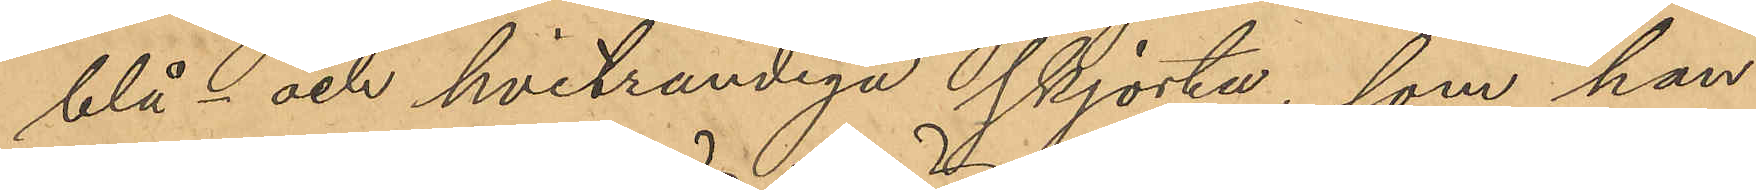blå och hvitrandiga skjorta, som han
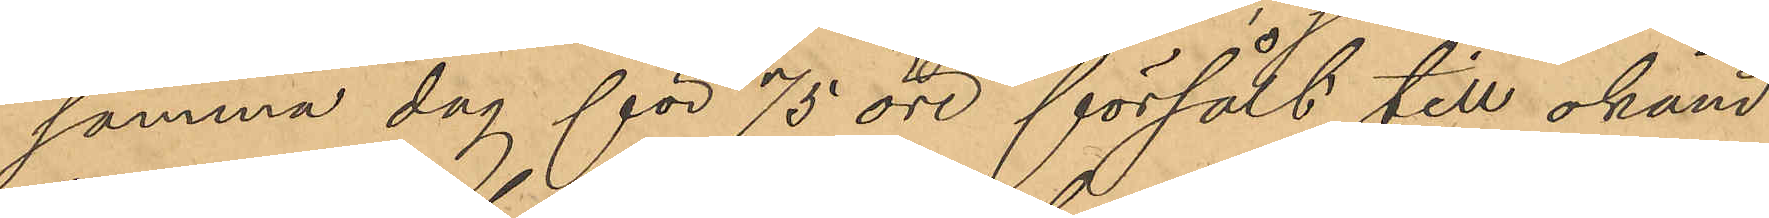samma dag för 75 öre försålt till okänd
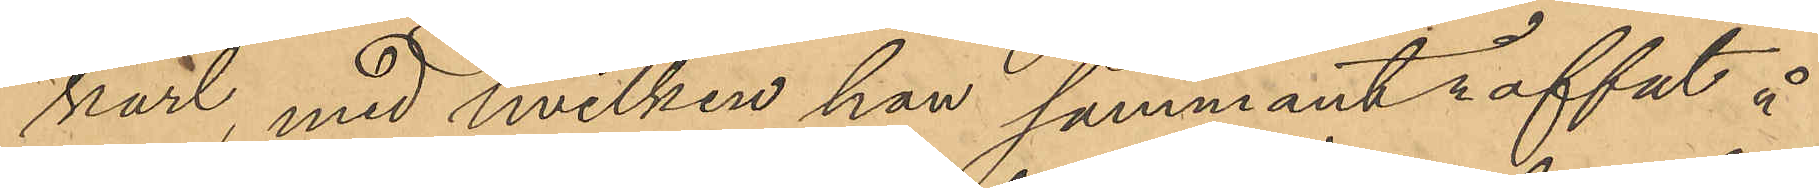karl, med hvilken han sammanträffat å
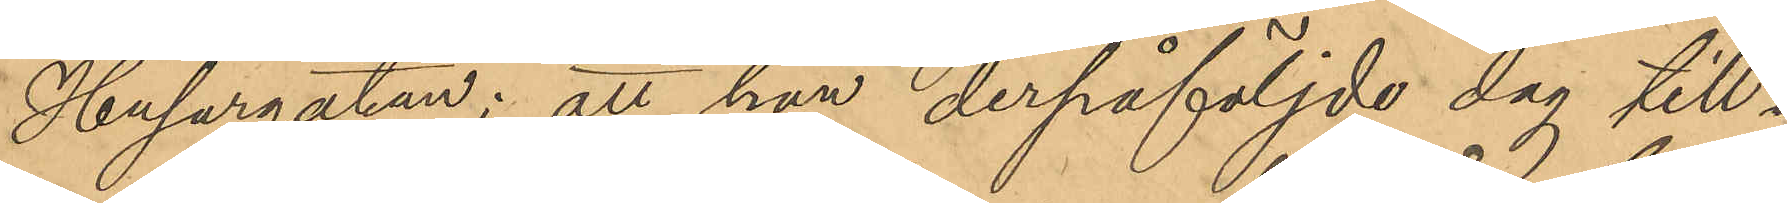Husargatan; att han derpåföljde dag till¬
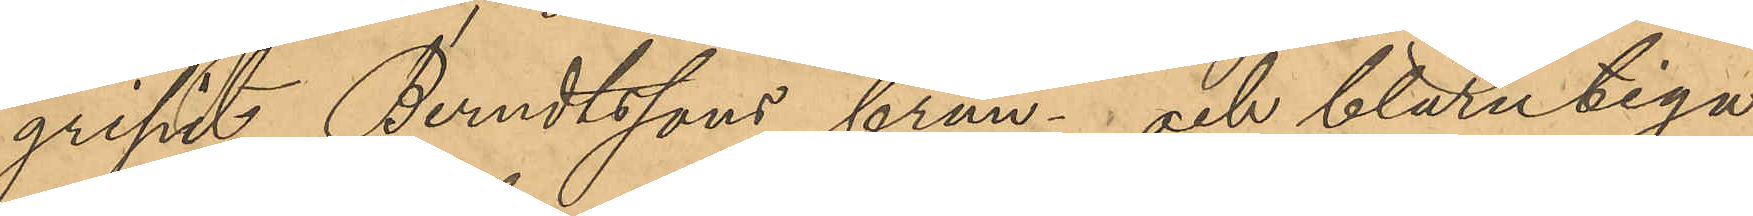gripit Berndtssons brun- och blårutiga
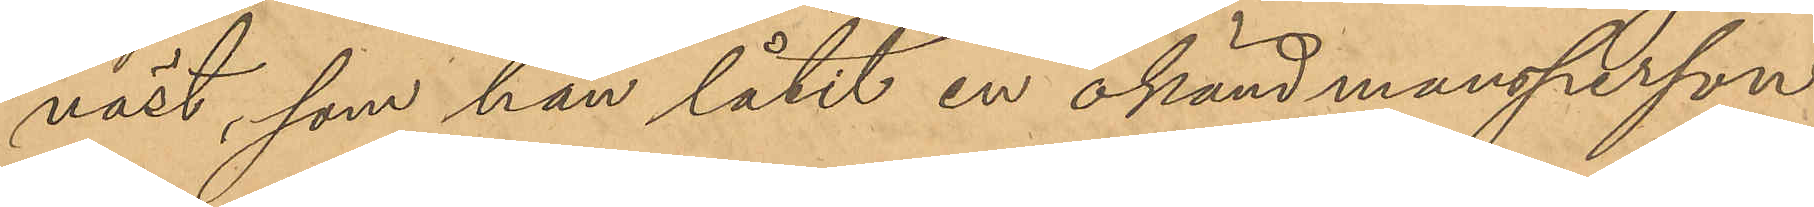väst, som han låtit en okänd mansperson
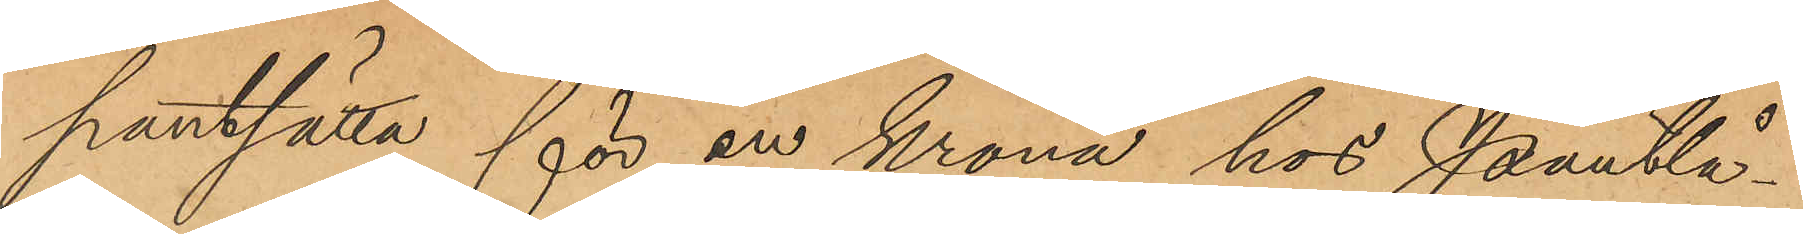pantsätta för en krona hos Pantlå¬
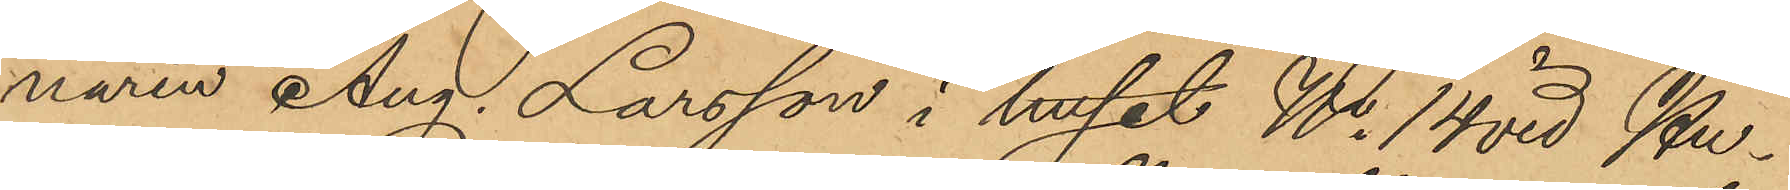naren Aug. Larsson i huset No 14 vid Hu¬
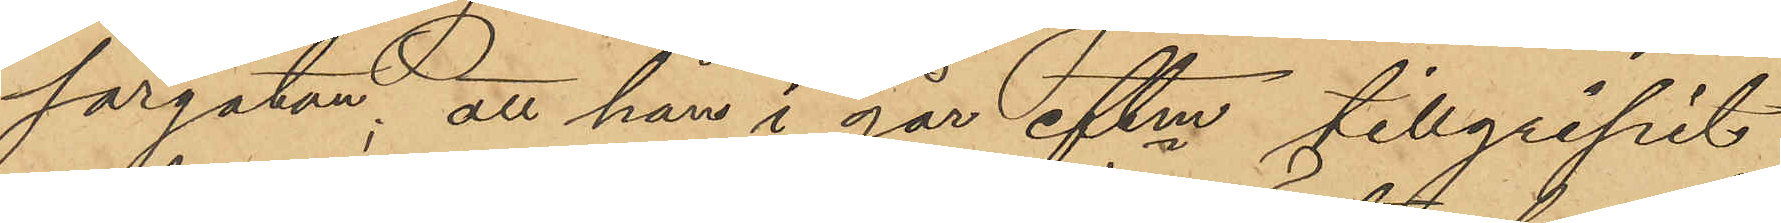sargatan; att han i går eftm tillgripit
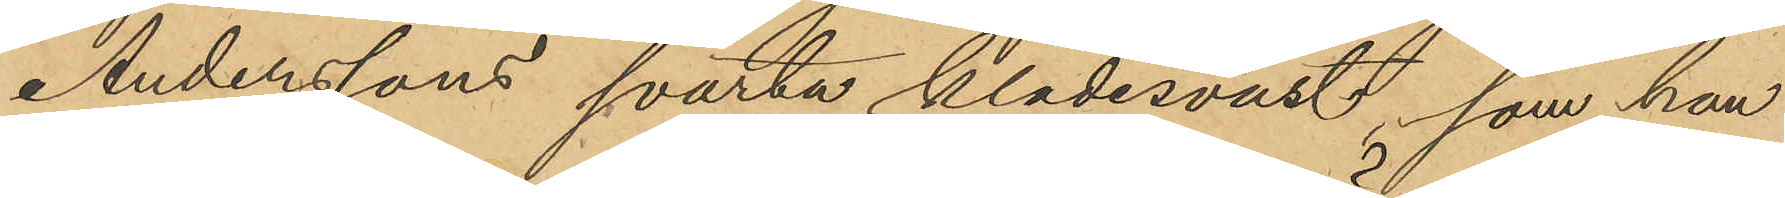Anderssons svarta klädesväst, som han
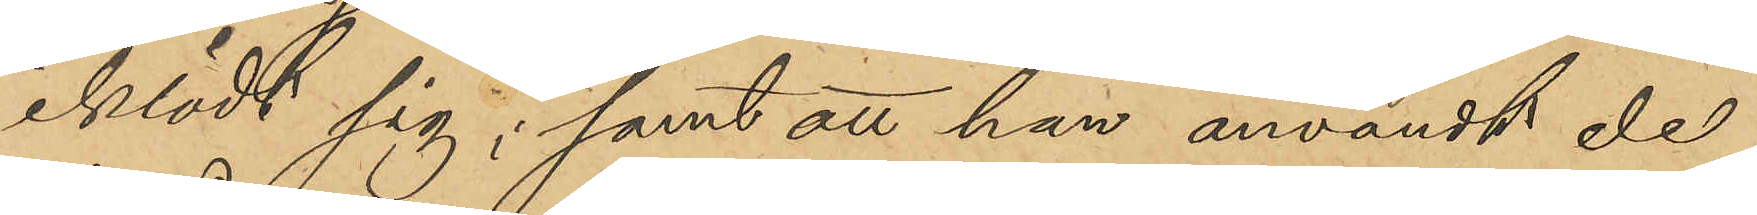iklädt sig; samt att han användt de
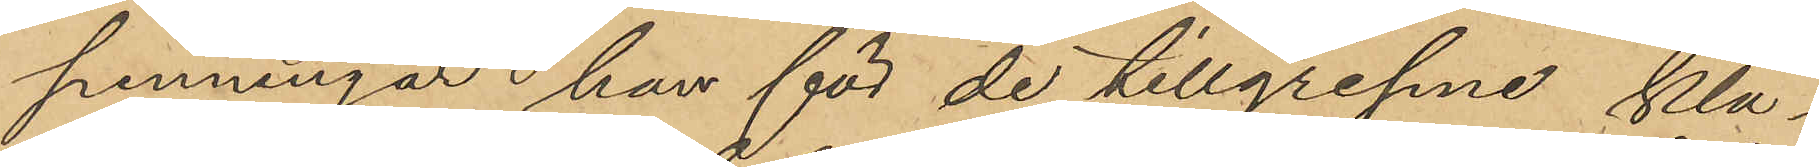penningar han för de tillgripne klä¬
